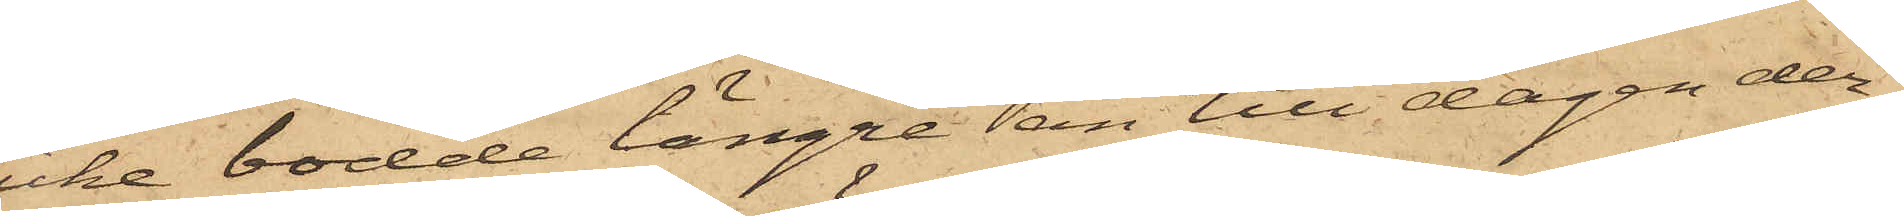icke bodde längre än till dagen der¬
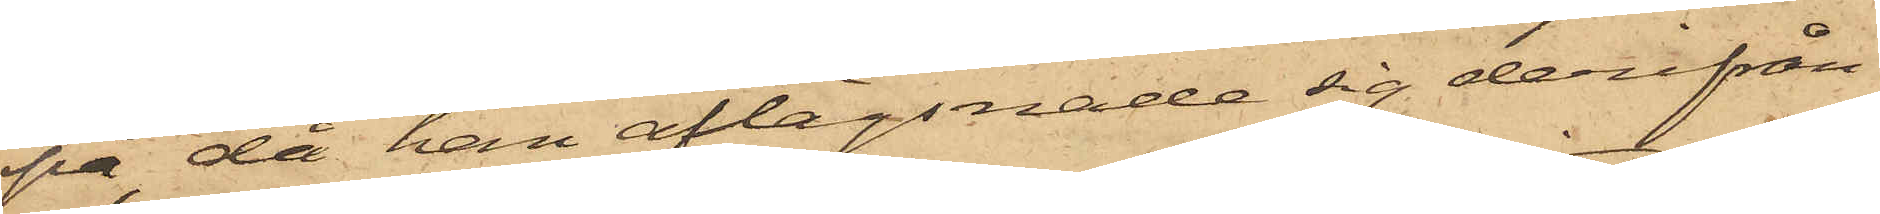på, då han aflägsnade sig derifrån
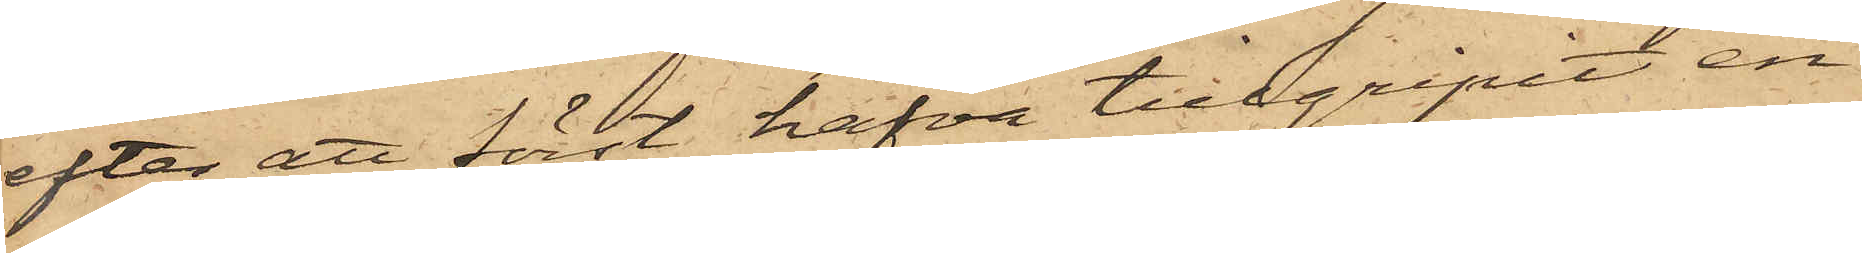efter att först hafva tillgripit en
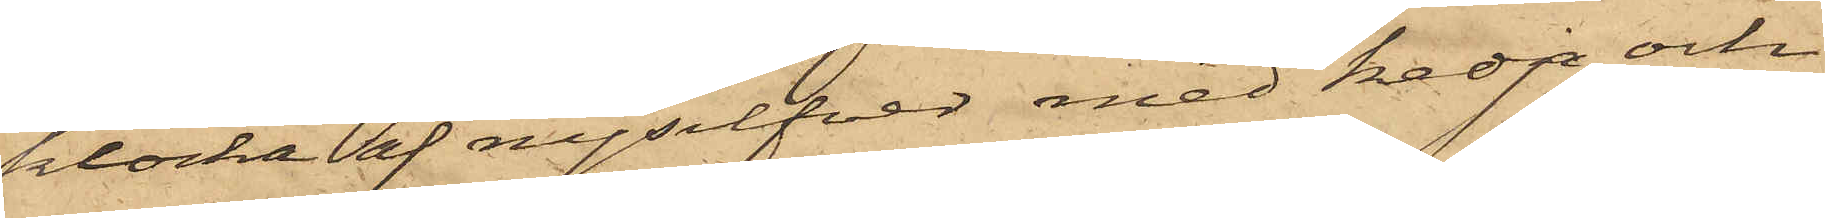klocka af nysilfver med kedja och
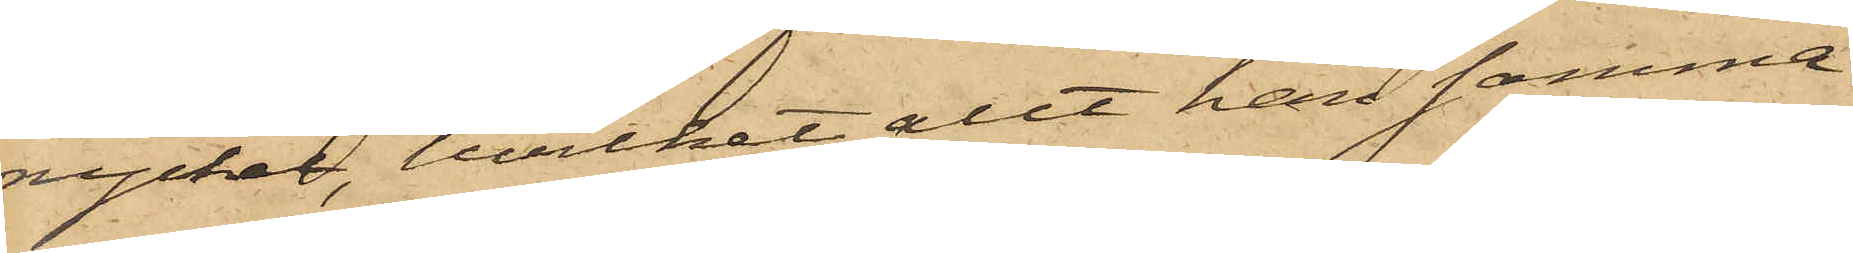nyckel, hvilket allt han samma
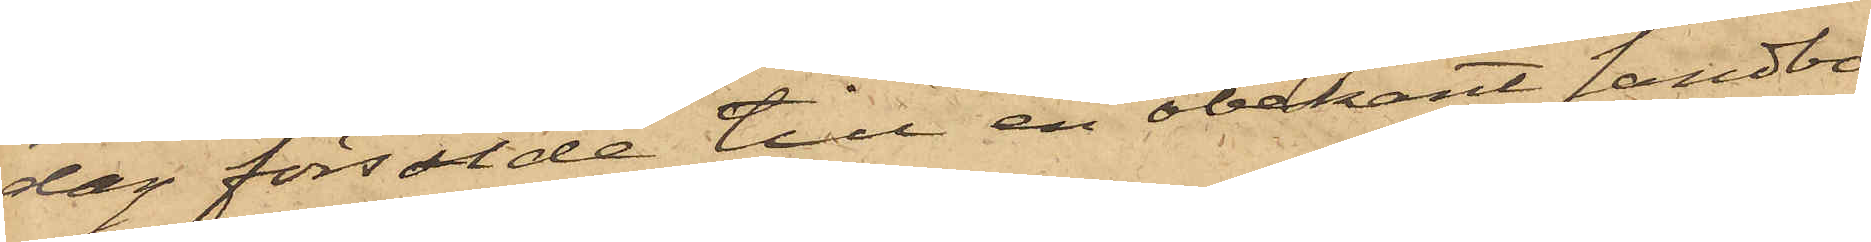dag försålde till en obekant Landbo
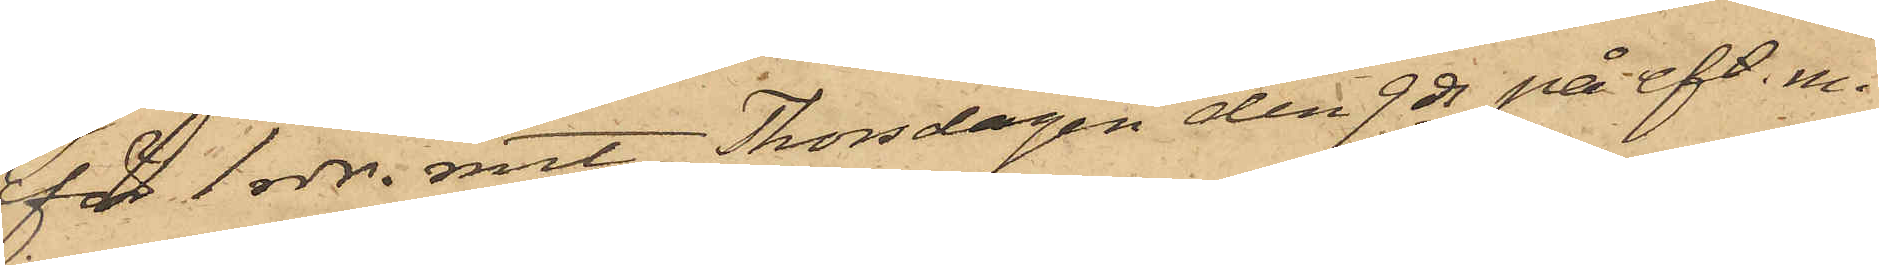för 1 rdr. rmt; Thorsdagen den 9 ds på eft. m.
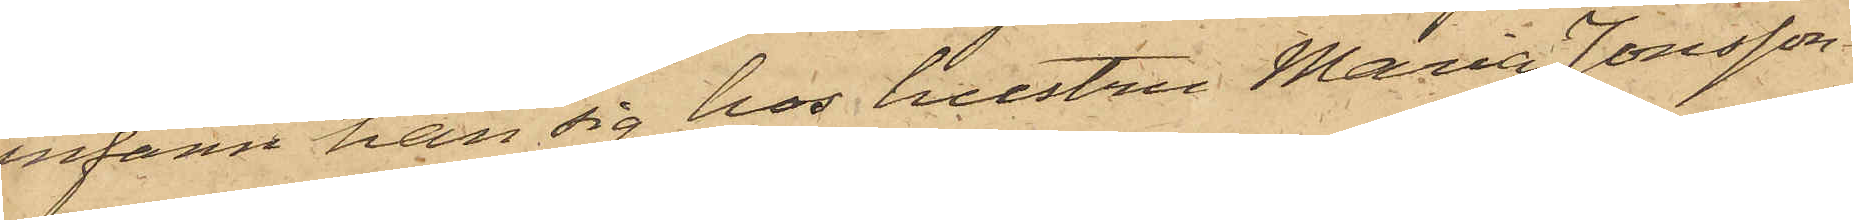infann han sig hos hustru Maria Jonsson
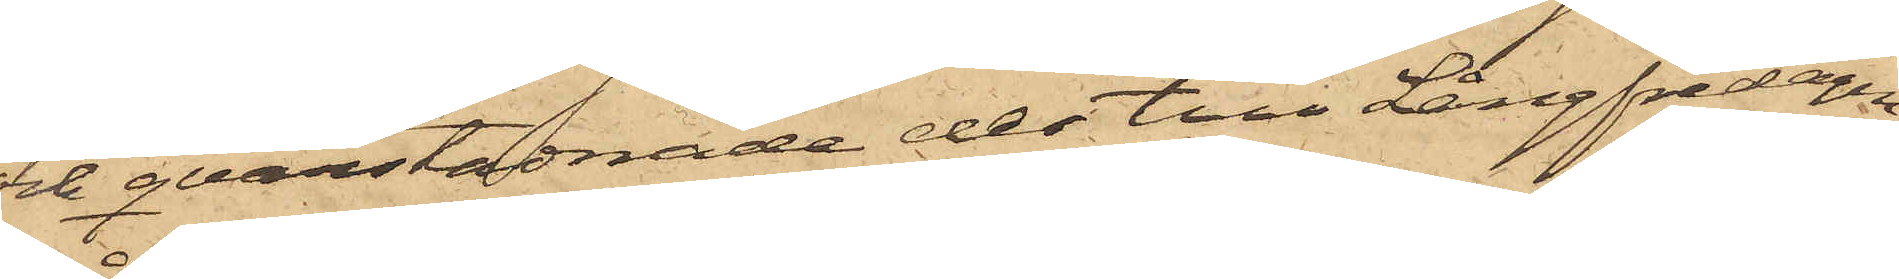och qvarstadnade der till Långfredagen
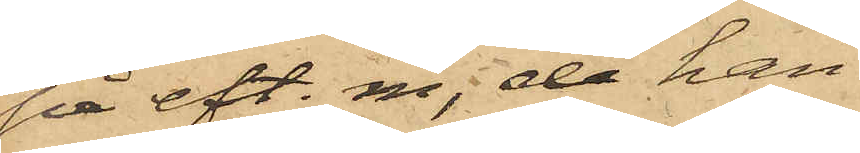på eft. m., då han
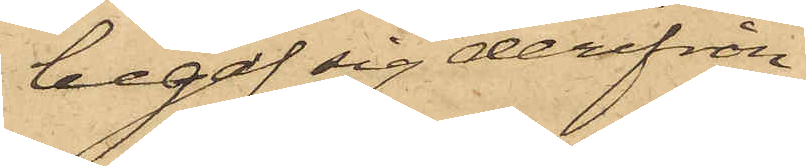begaf sig derifrån
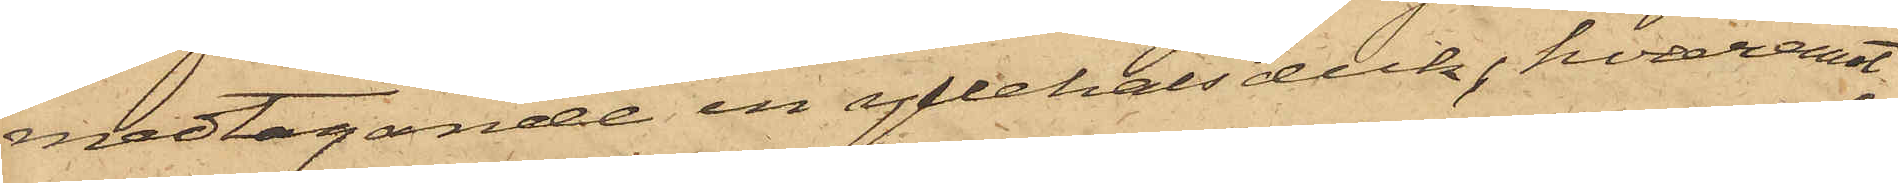medtagande en yllehalsduk, hvaremot
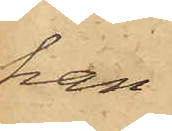han
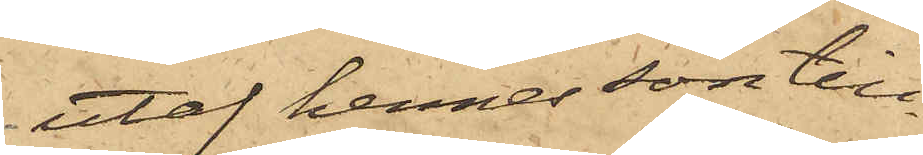utaf hennes son till¬
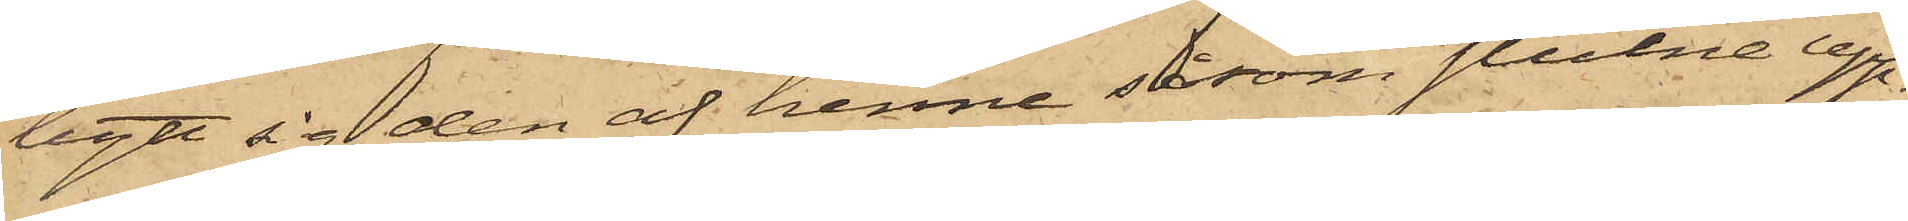bytt sig den af henne såsom stulne upp¬
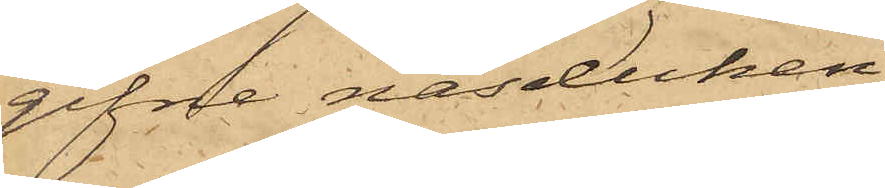gifne näsduken,
